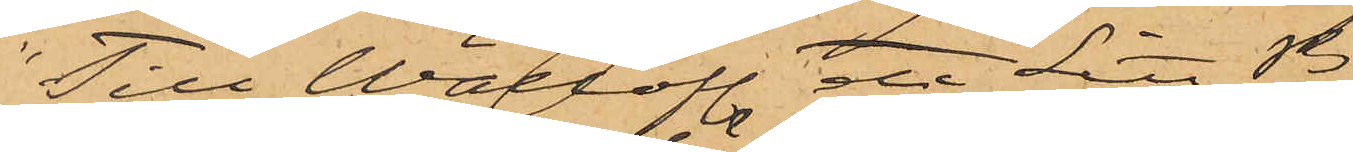"Till Wällofl etc Litt B
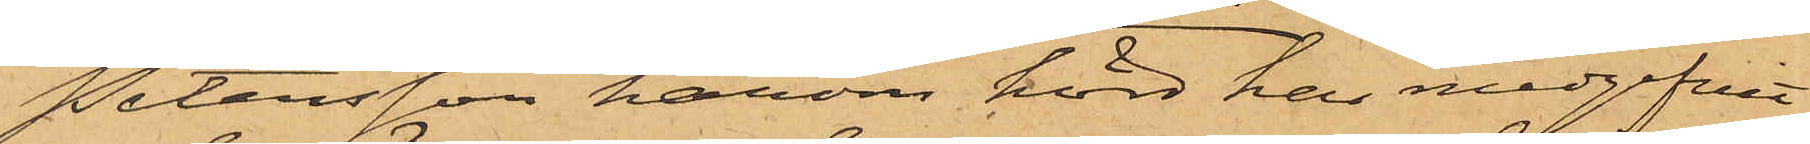Petersson härom hörd har medgifvit
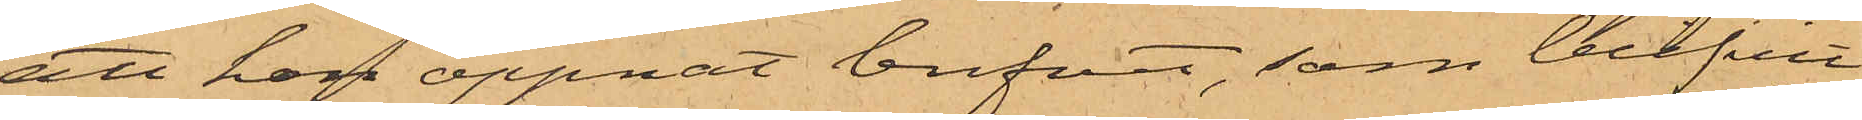att han öppnat brefvet, som blifvit
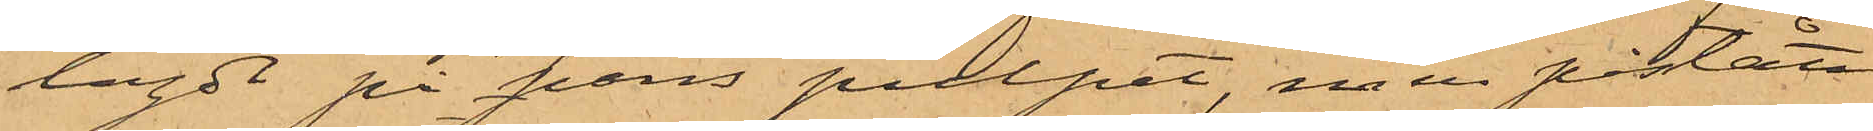lagdt på hans pulpet, men påstått
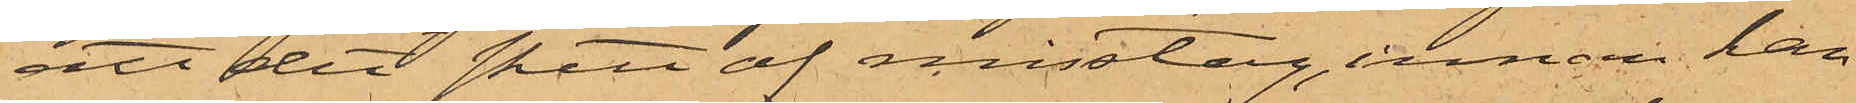att det skett af misstag, innan han
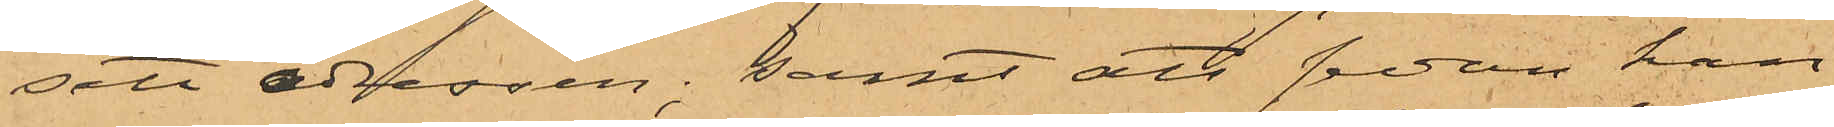sett adressen; samt att sedan han
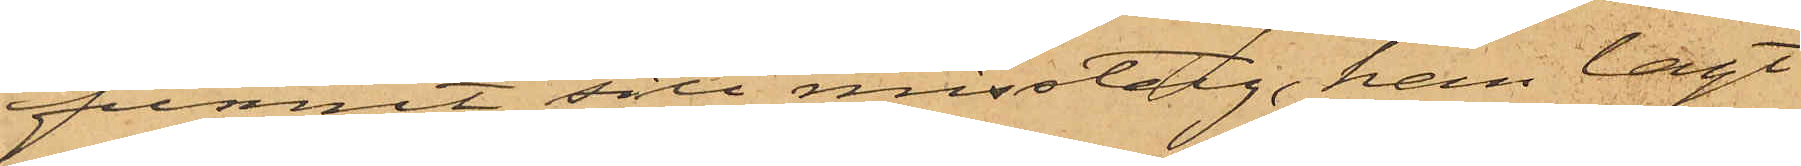funnit sitt misstag, han lagt
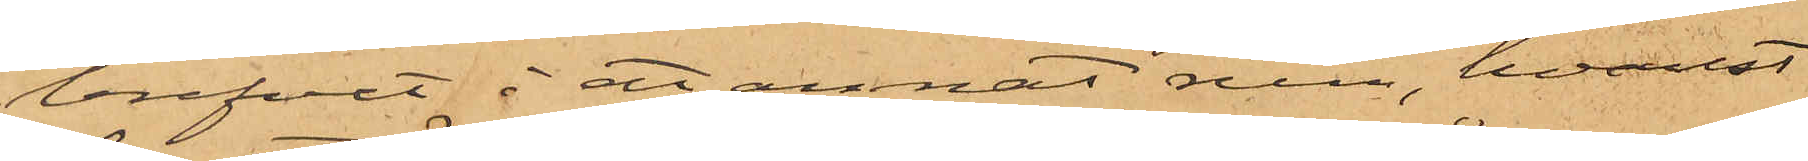brefvet i ett annat rum, hvarest
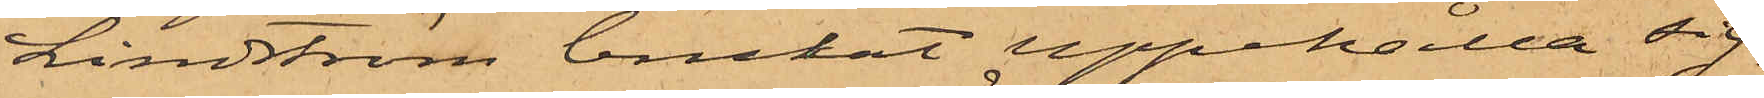Lindström brukat uppehålla sig,
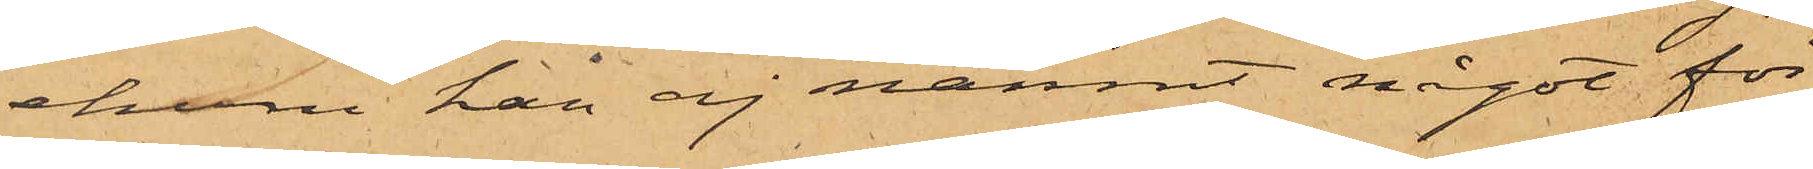ehuru han ej nämnt något för
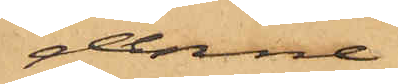denne.
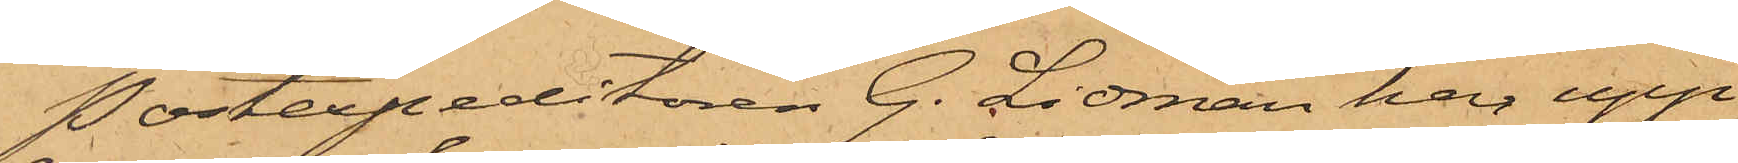Postexpeditören G. Lidman har upp¬
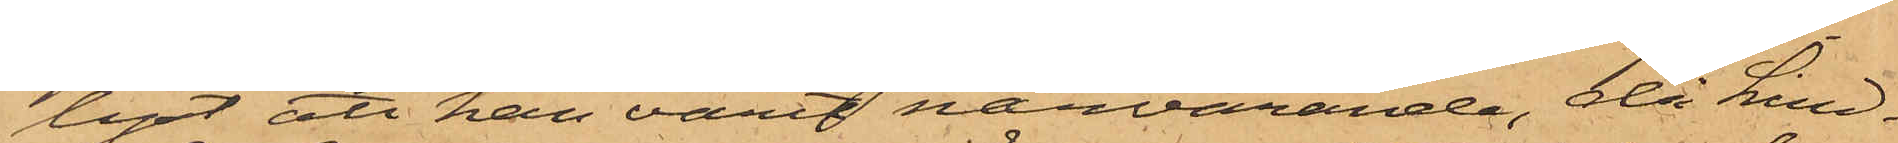lyst att han varit närvarande, då Lind¬
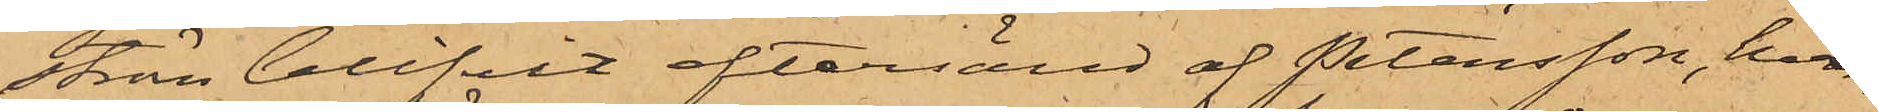ström blifvit eftersänd af Petersson, hvar¬
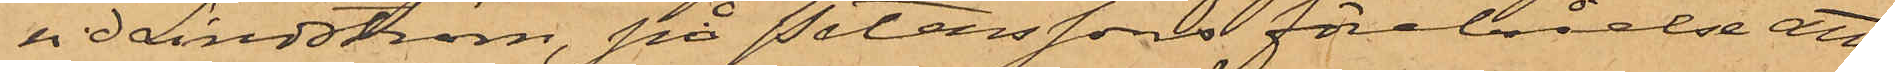vid Lindström, på Peterssons förebråelse att
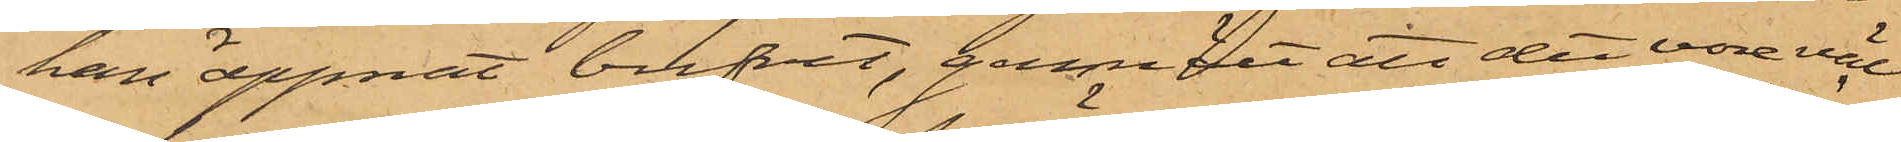han öppnat brefvet, genmält att det vore väl
